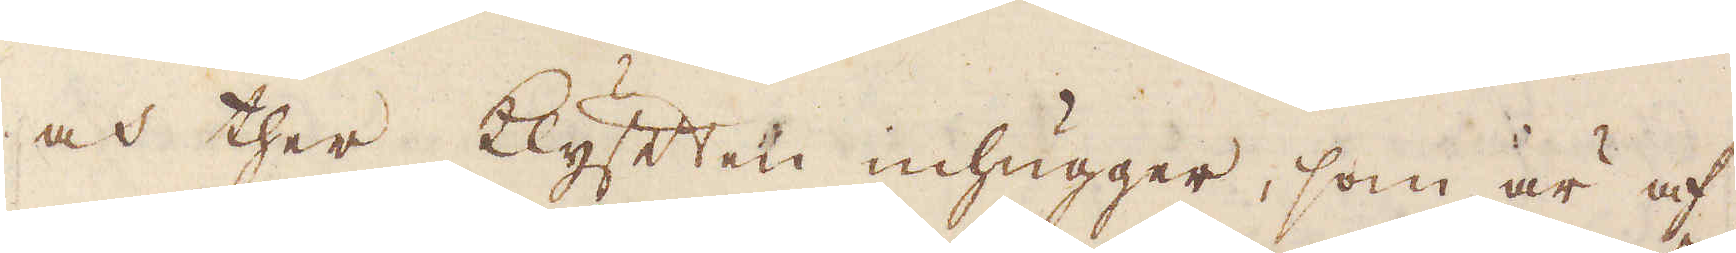och ther klyften inhugger, som är af
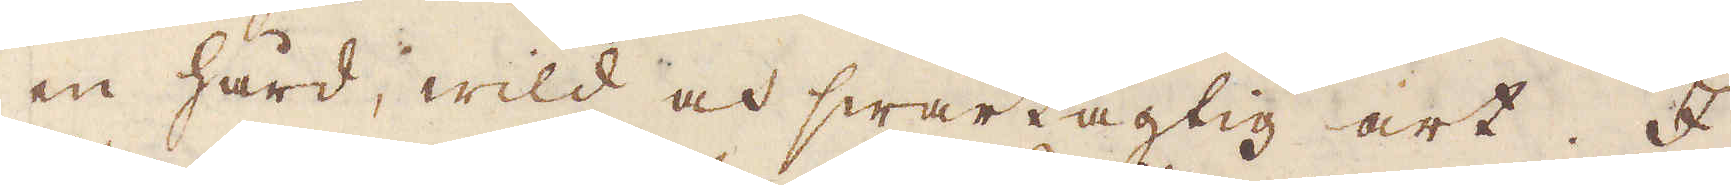en hård, wild och swartagtig art. I
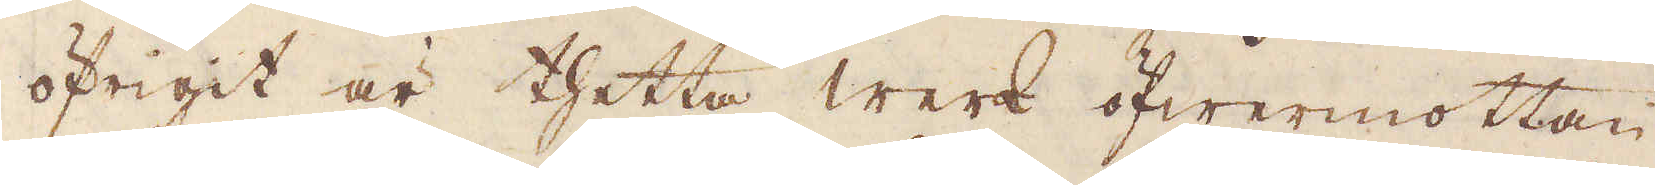öfrigit är thetta werk öfwermottan
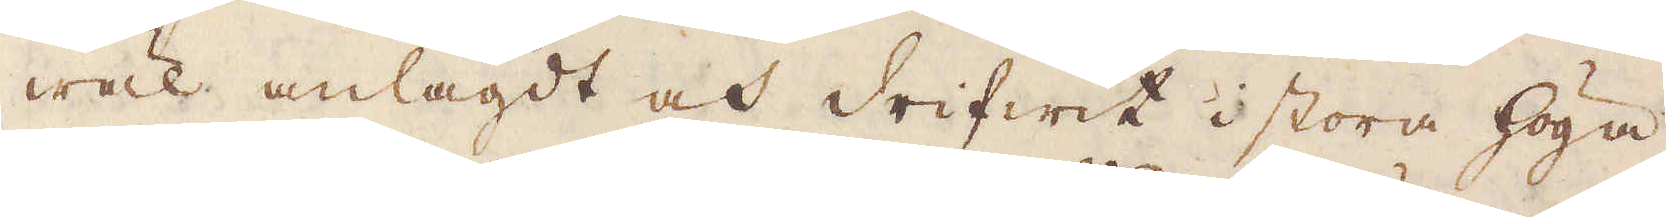wäl anlagdt och drifwit i stora höga
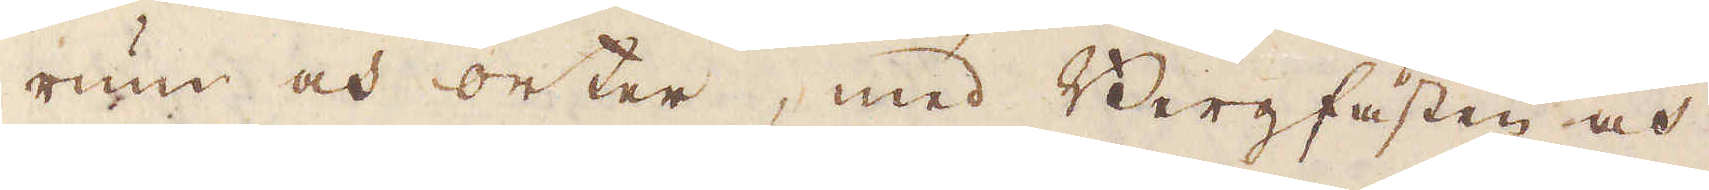rum och orter, med Bergfästen och
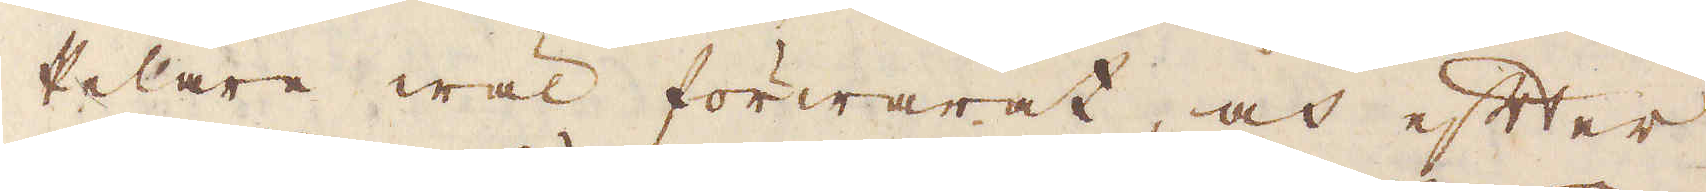Pelare wäl förwarat, och efter
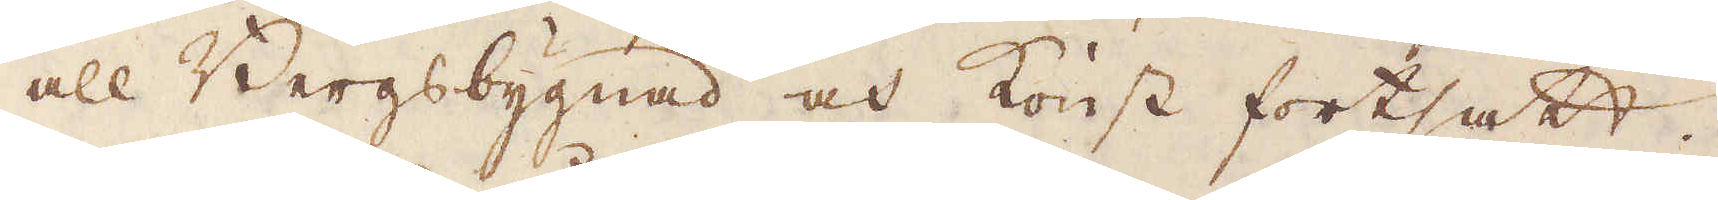all Bergsbygnad och konst fortsatt.
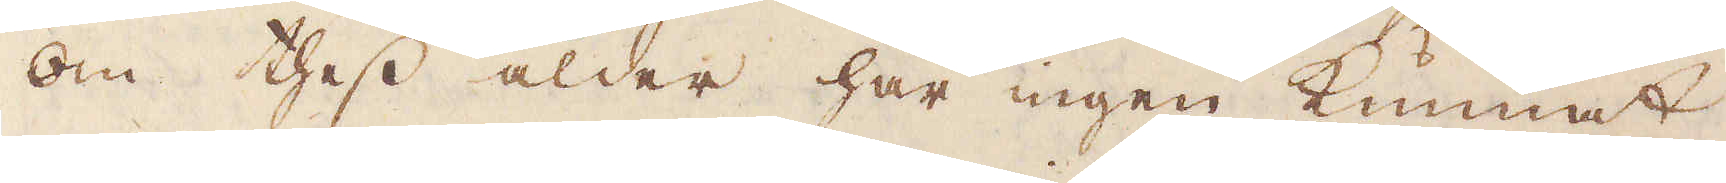Om thess ålder har ingen kunnat
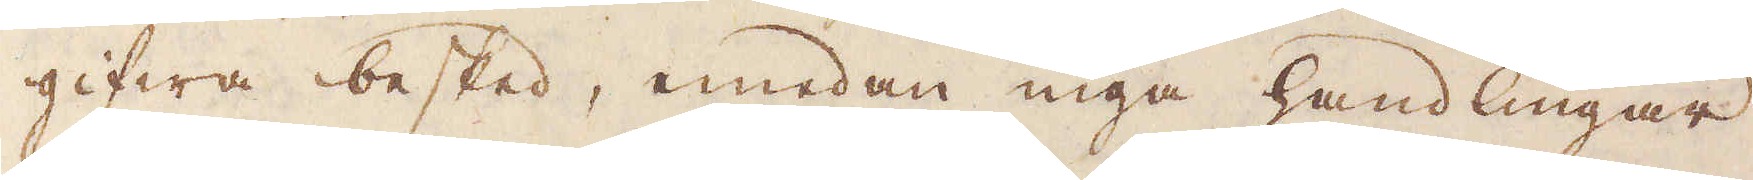gifwa besked, emedan inga handlingar
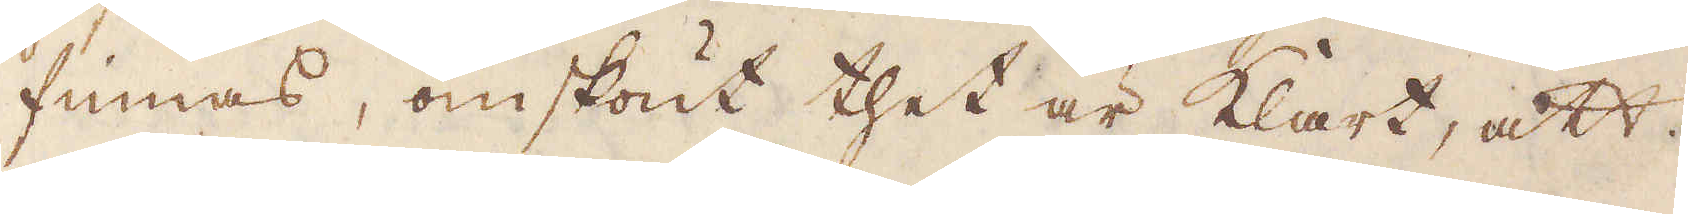finnas, omskönt thet är klart, att
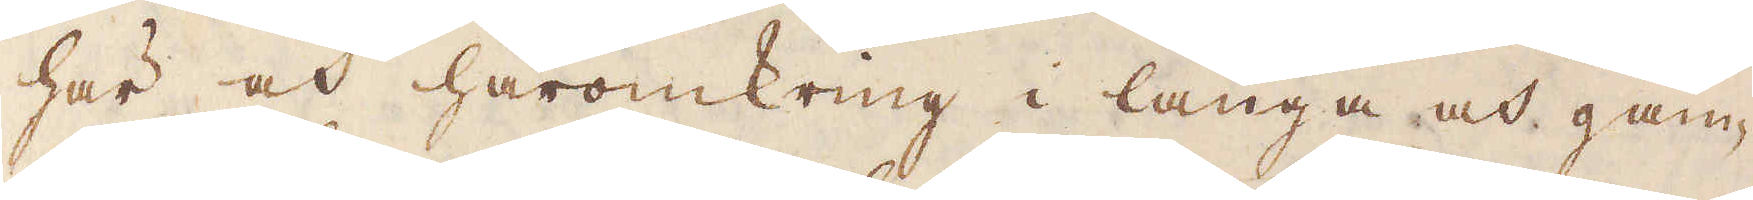här och häromkring i långa och gam-
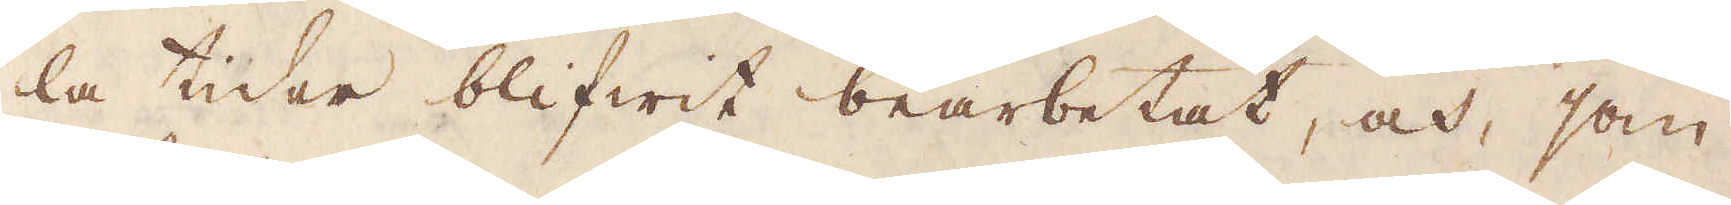la tider blifwit bearbetat, och, som
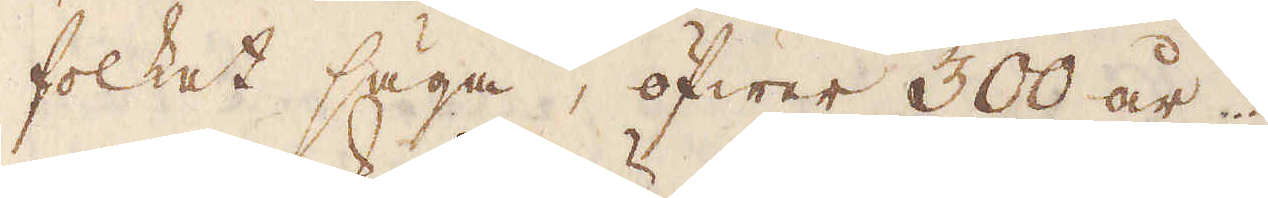folket säga, öfwer 300 år.
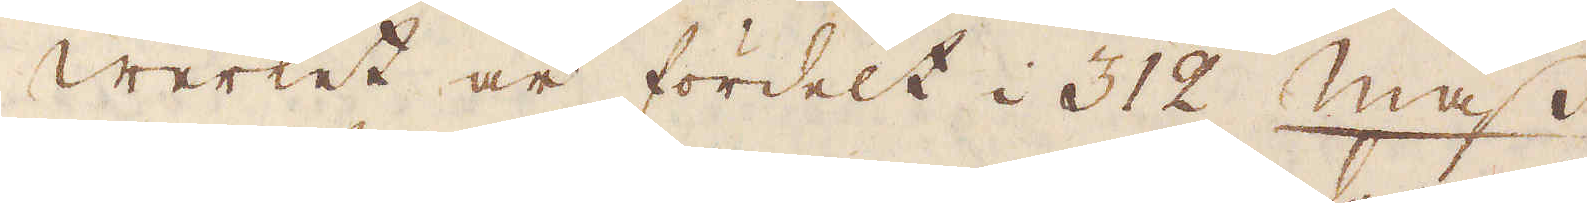Werket är fördelt i 312 Mass
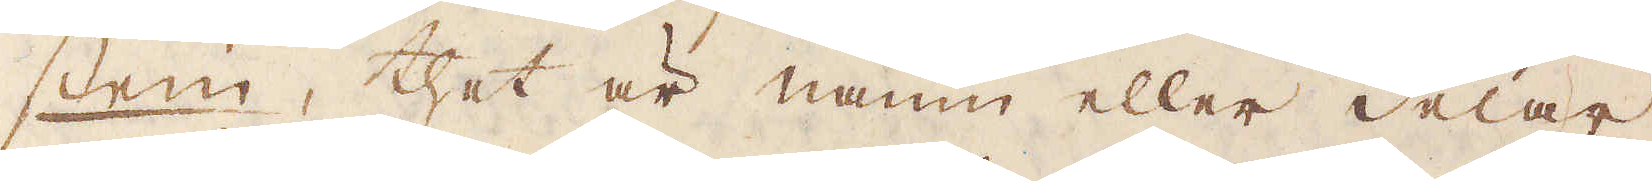stein, thet är namn eller delar,
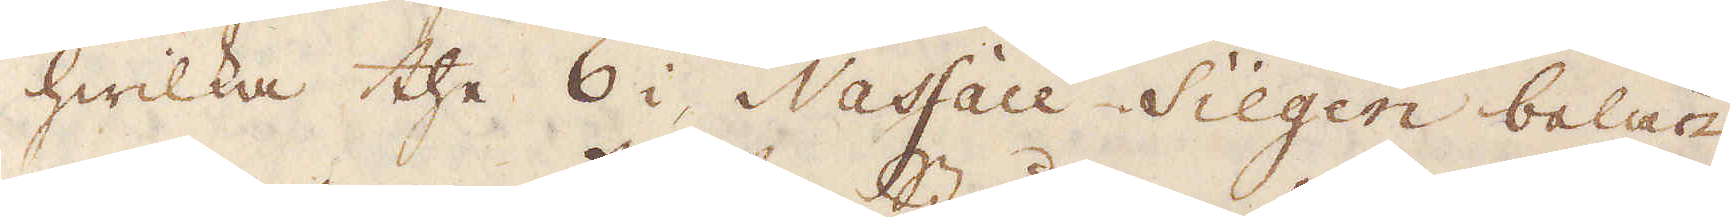hwilka the 6 i Nassau-Siegen belä-
